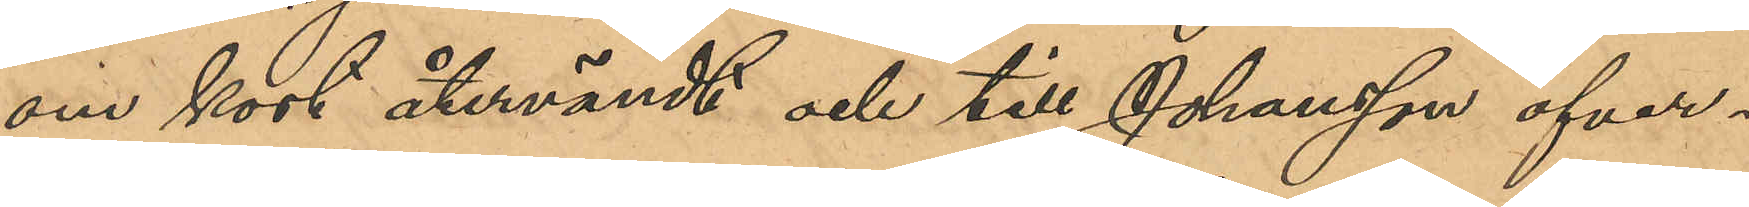om kort återvändt och till Johansson öfver¬
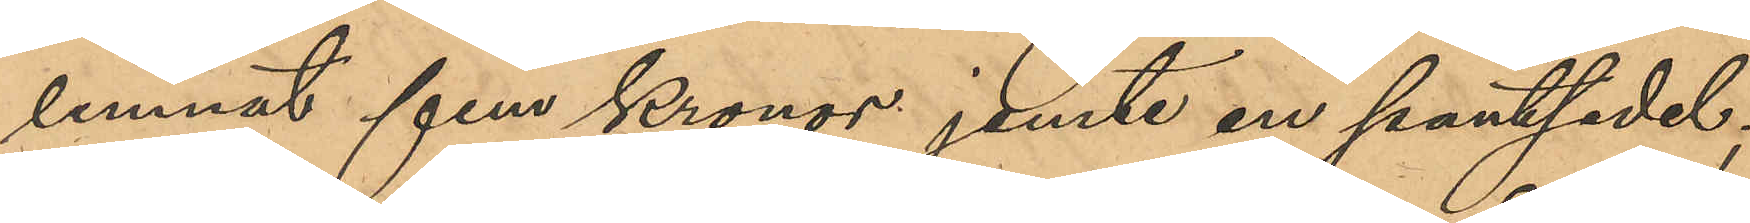lemnat fem kronor jemte en pantsedel;
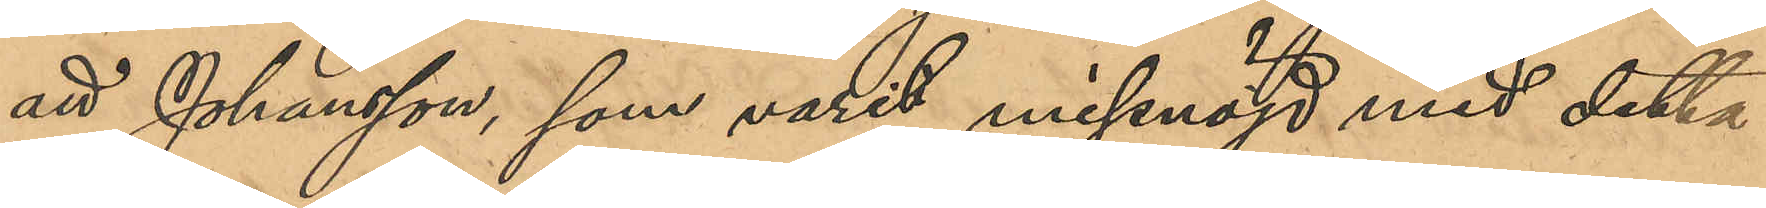att Johansson, som varit missnöjd med detta
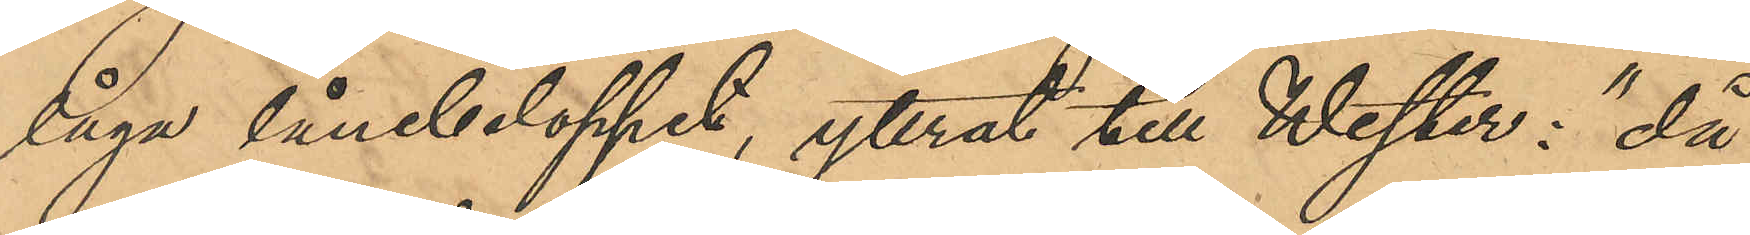låga lånebelopp, yttrat till Wester: "då
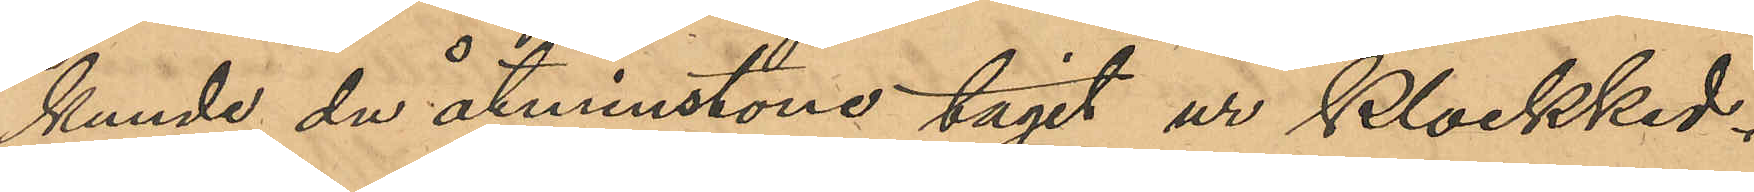kunde du åtminstone tagit ur Klockked¬
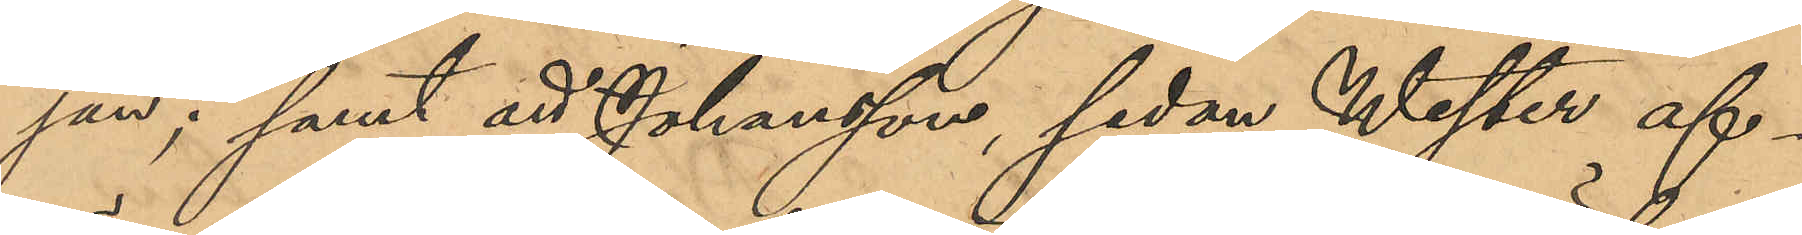jan"; samt att Johansson, sedan Wester af¬
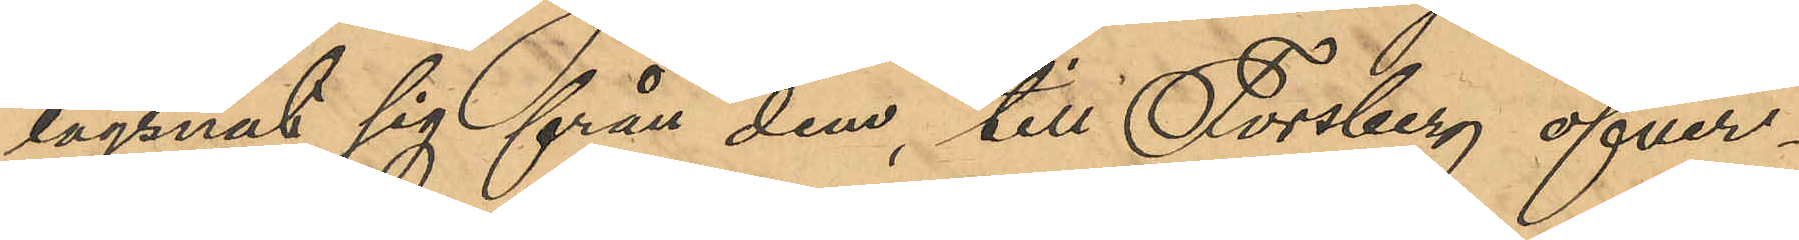lägsnat sig från dem, till Forsberg öfver¬
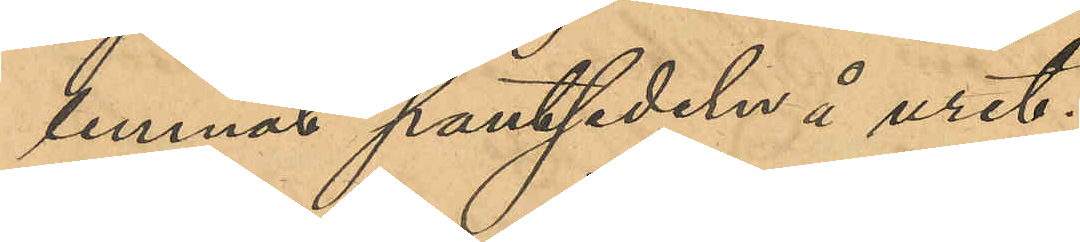lemnat pantsedeln å uret;
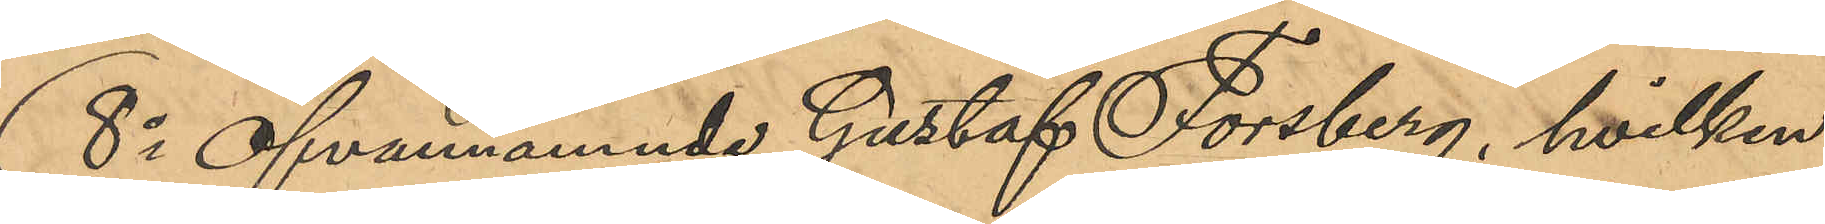8o Ofvannämnde Gustaf Forsberg, hvilken
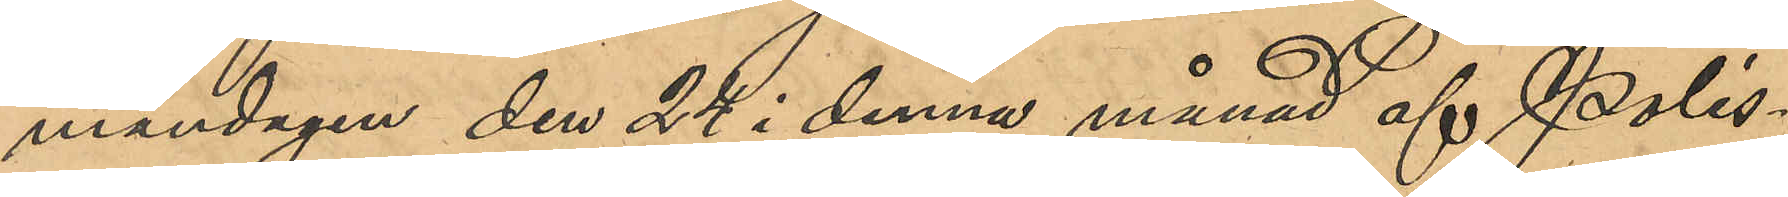måndagen den 24 i denna månad af Polis¬
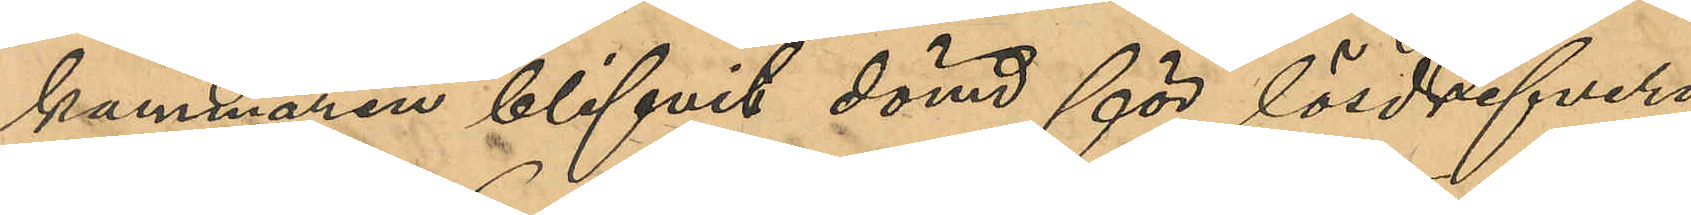kammaren blifvit dömd för lösdrifveri
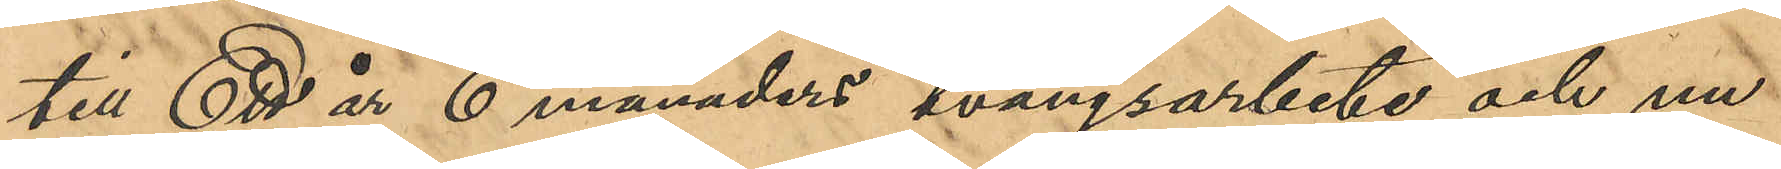till Ett år 6 månaders tvångsarbete och nu
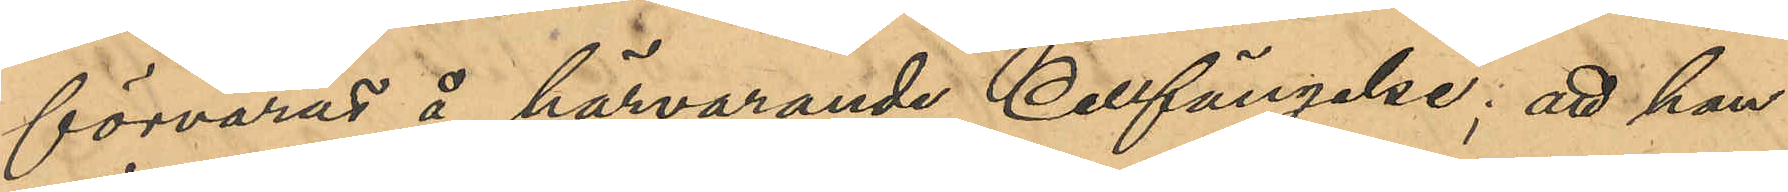förvaras å härvarande Cellfängelse; att han
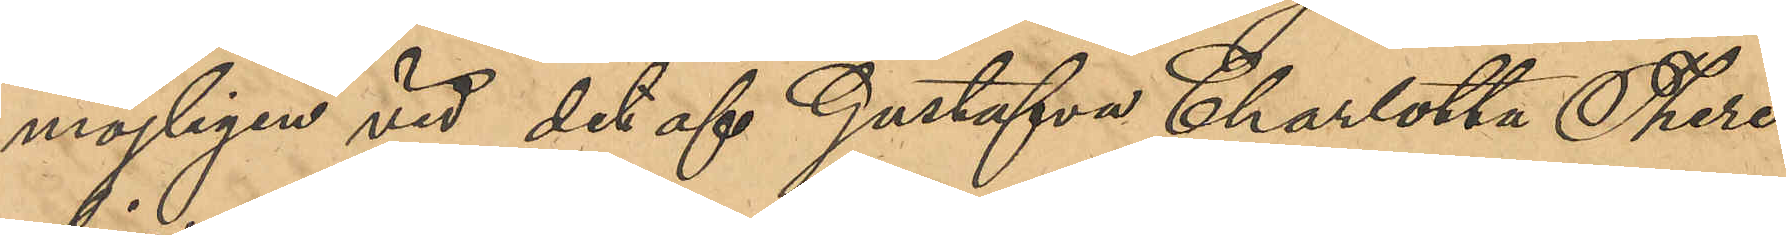möjligen vid det af Gustafva Charlotta There¬
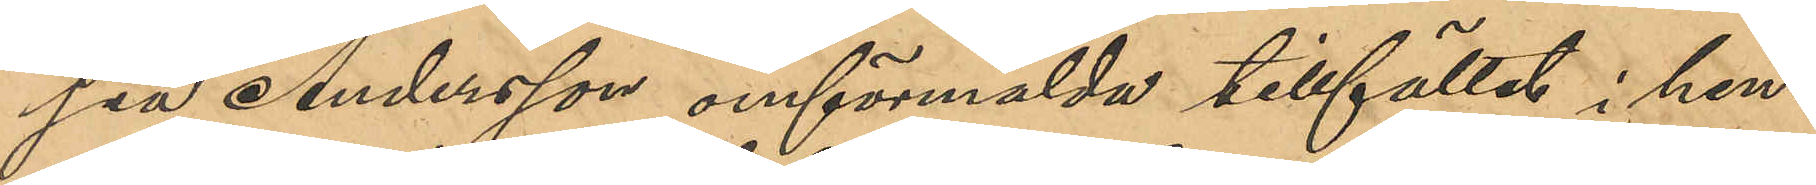sia Andersson omförmälda tillfälle i hen¬
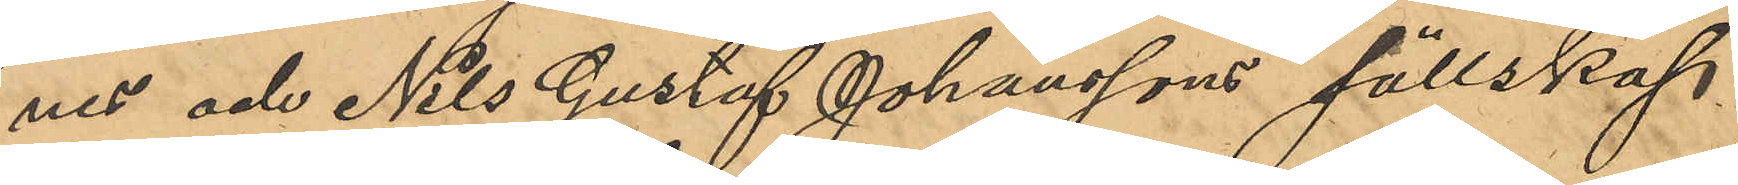nes och Nils Gustaf Johanssons sällskap
